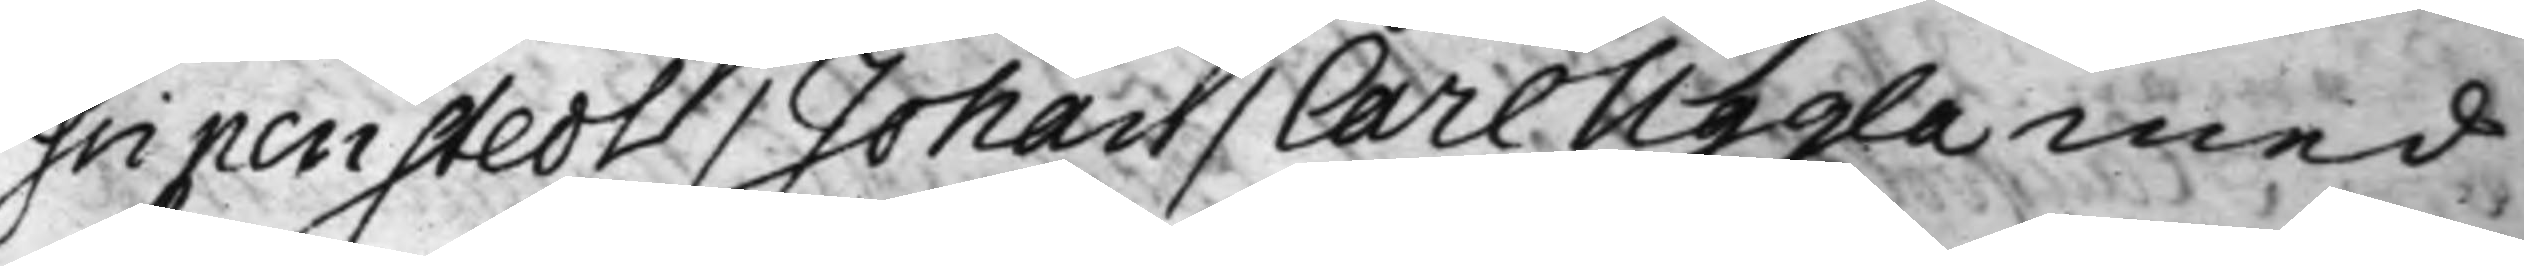Gripenstedt / Johan / Carl Uggla med
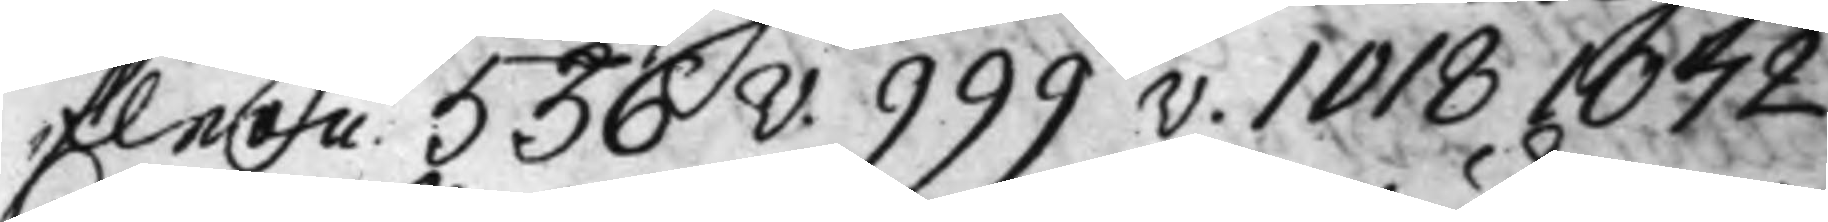flera 536v. 999v. 1018 1072.
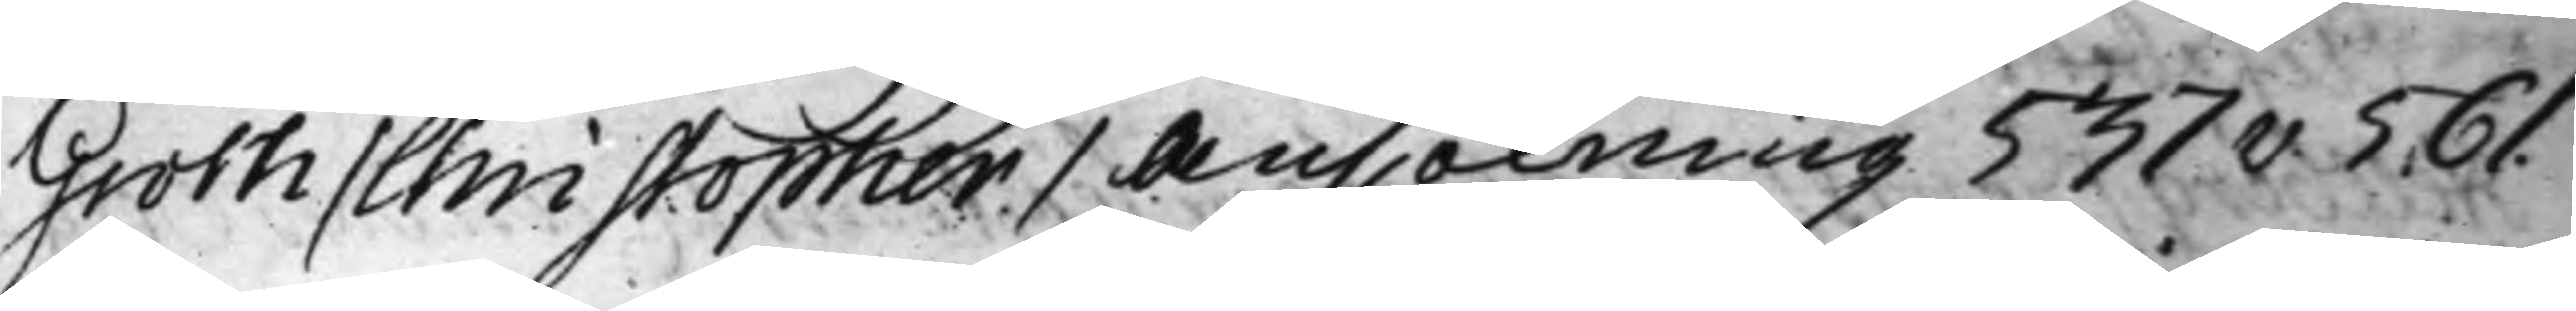Groth / Christopher / Ansökning 537v. 561.
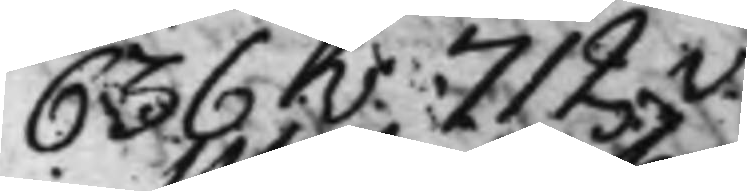636v. 712v.
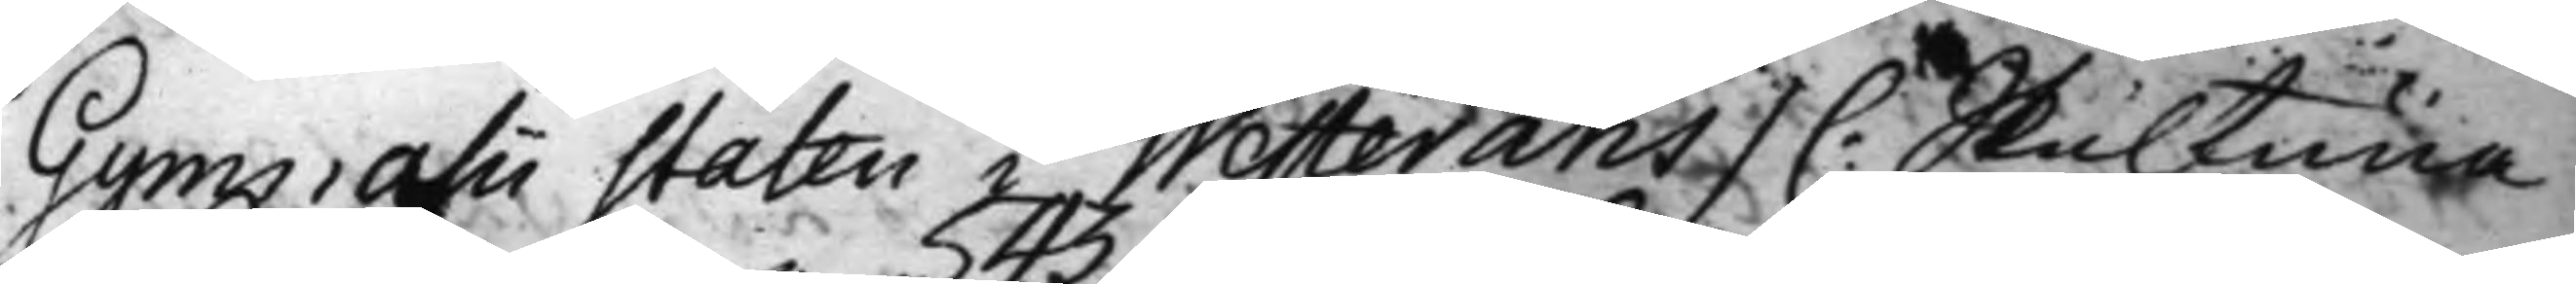Gymnasii staten i Wästeråhs / C: Skultuna
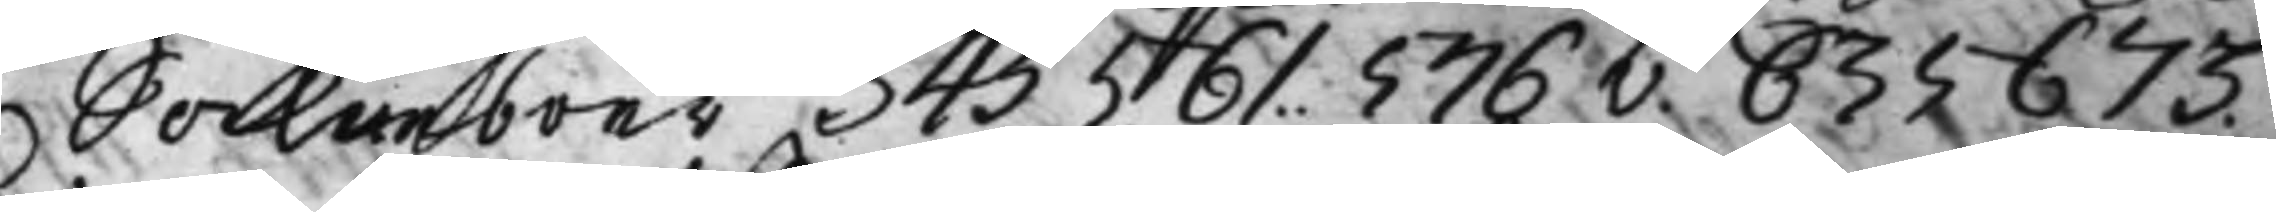Sockneboer 543 561. 576v. 635 673.
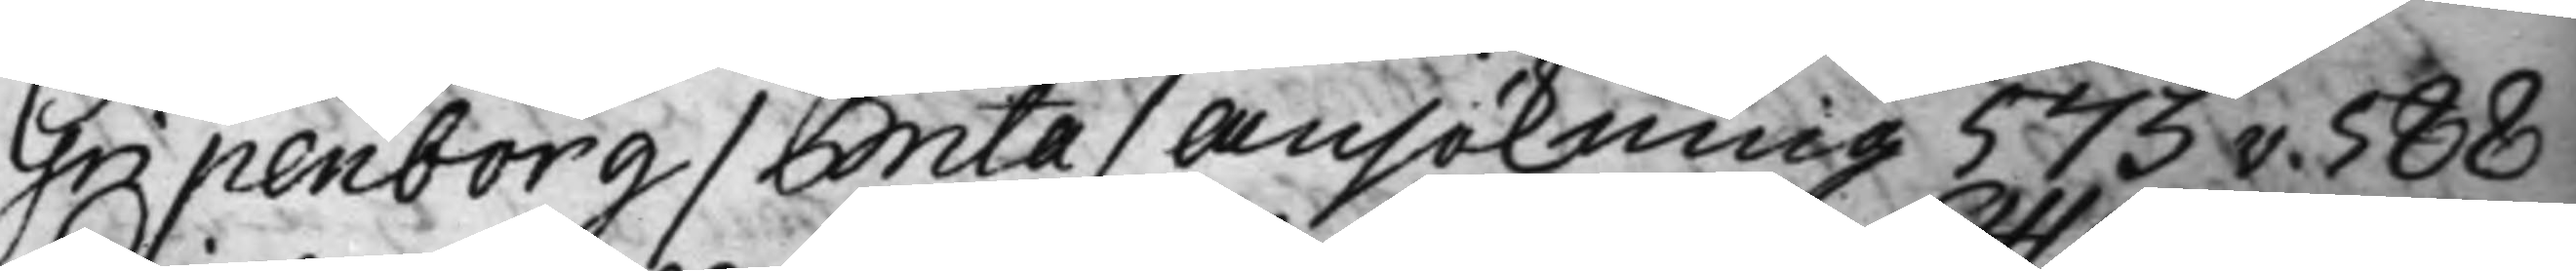Gripenborg / Brita / Ansökning 573v. 588
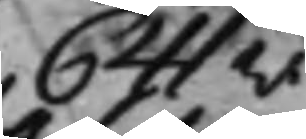641v.
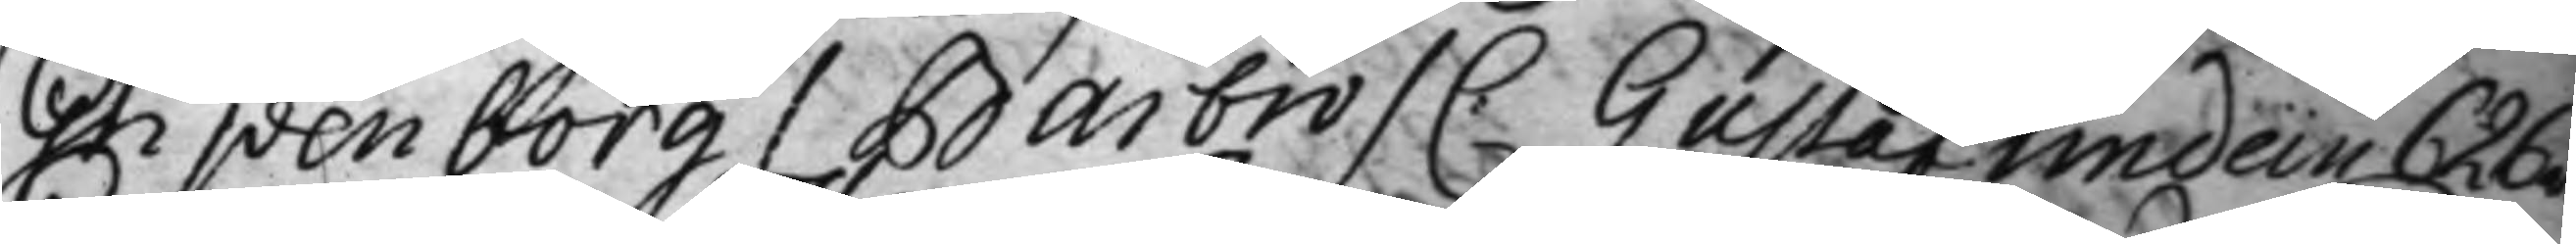Gripenborg / Barbro / C: Gustaf Undein 626v.
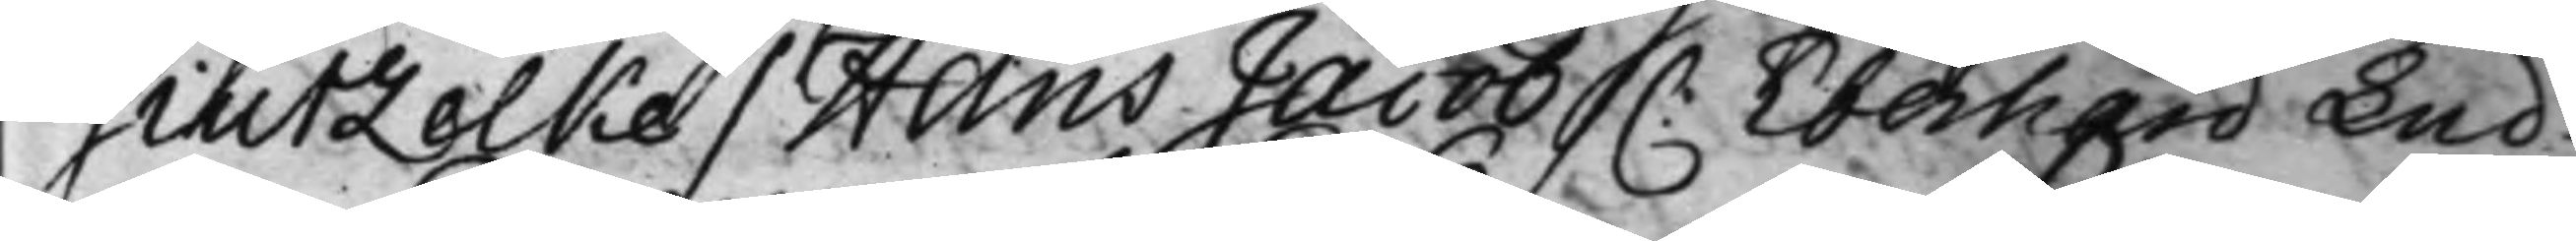Giutzelke / Hans Jacob /C: Eberhard Lud¬
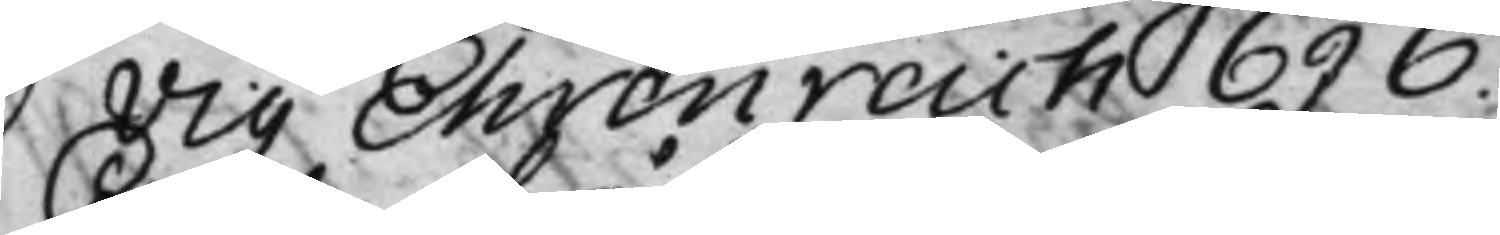vig Ehrenreich 696.
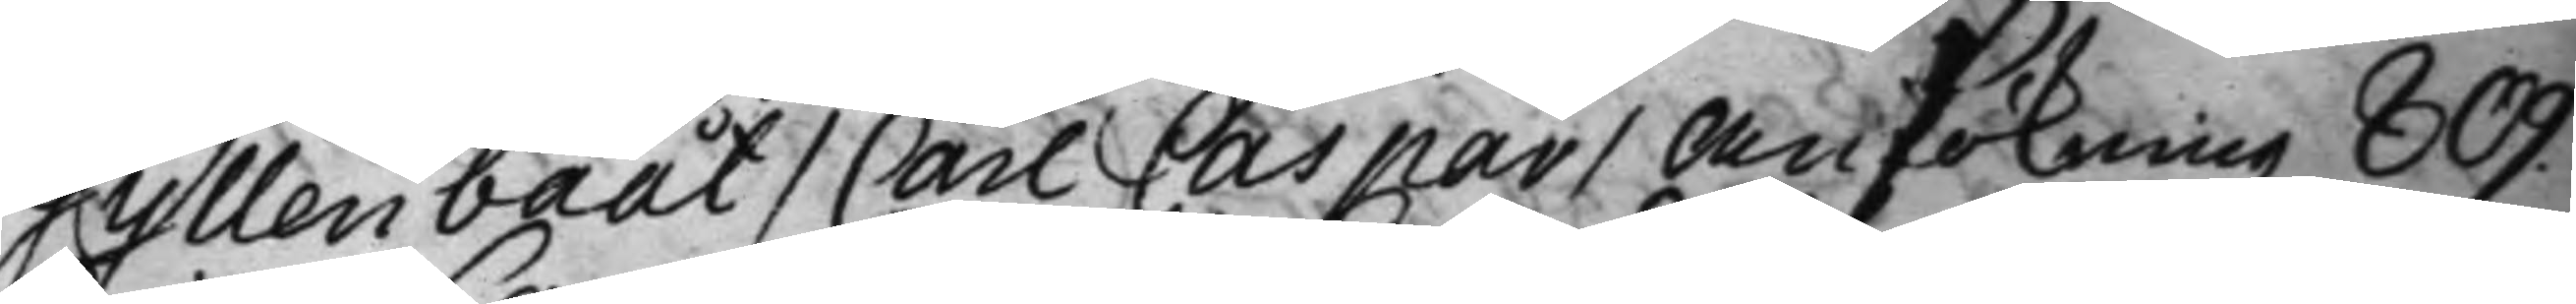Gyllenbååt / Carl Caspar / Ansökning 809.
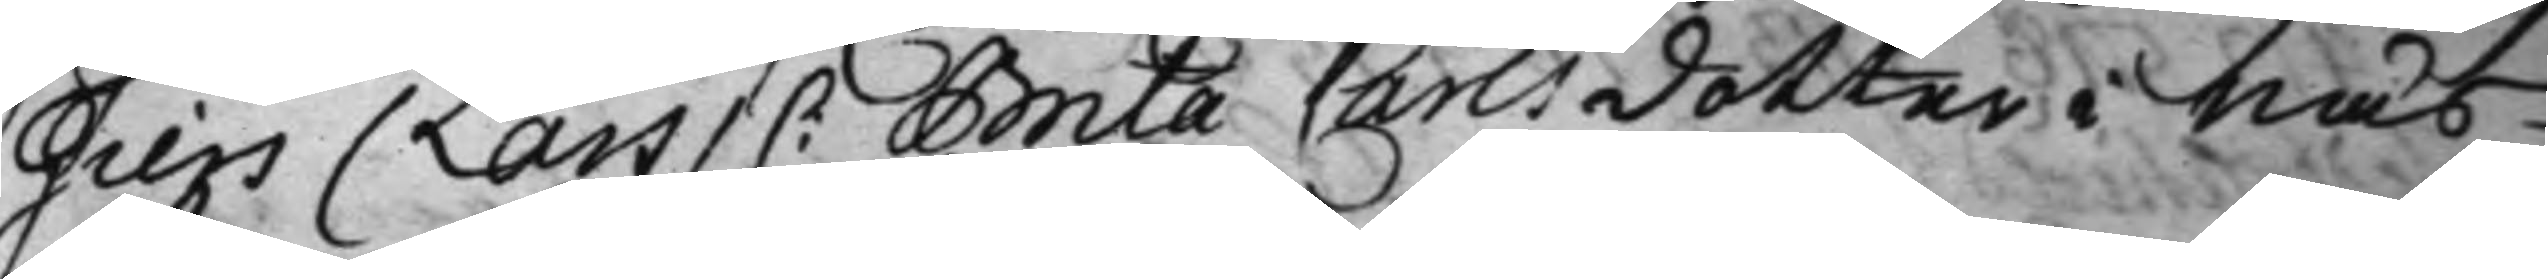Giers / Lars / C: Brita Carlsdotter i Näs¬
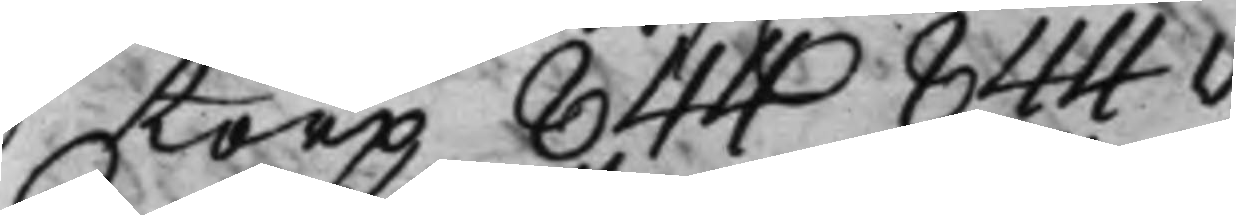torp 844 844v. 
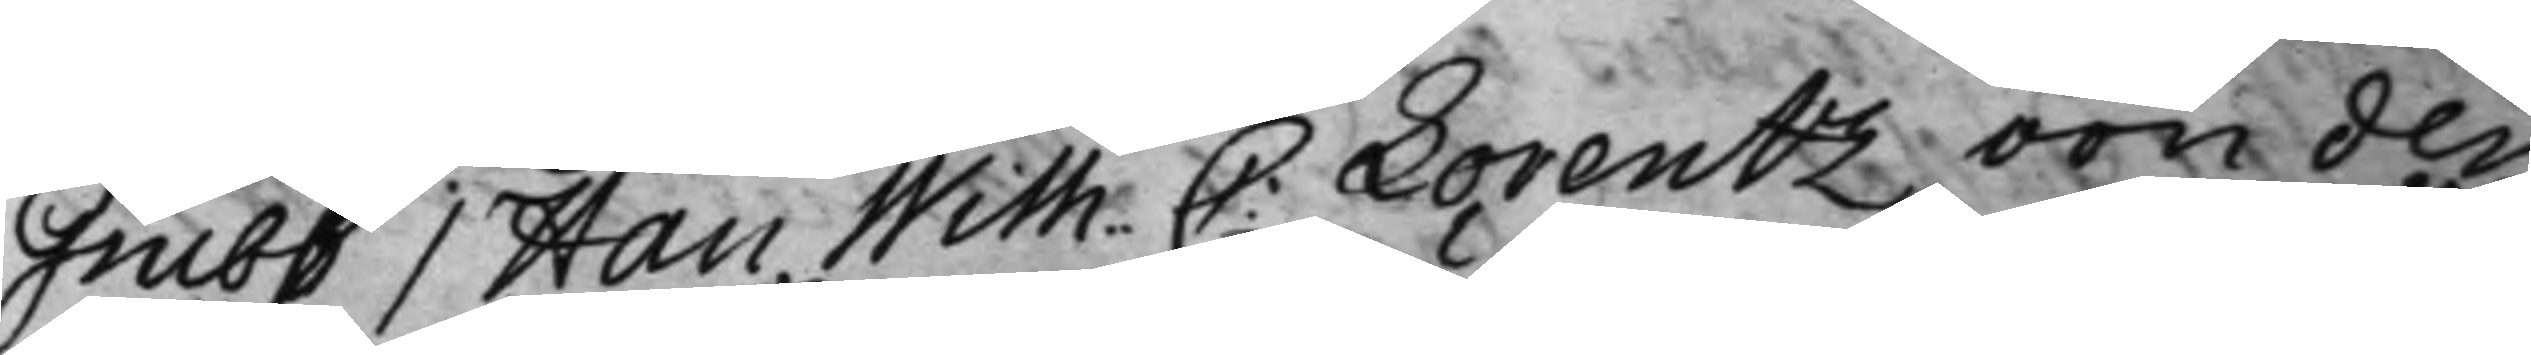Grubb / Han Wilh. C: Lorentz, von der
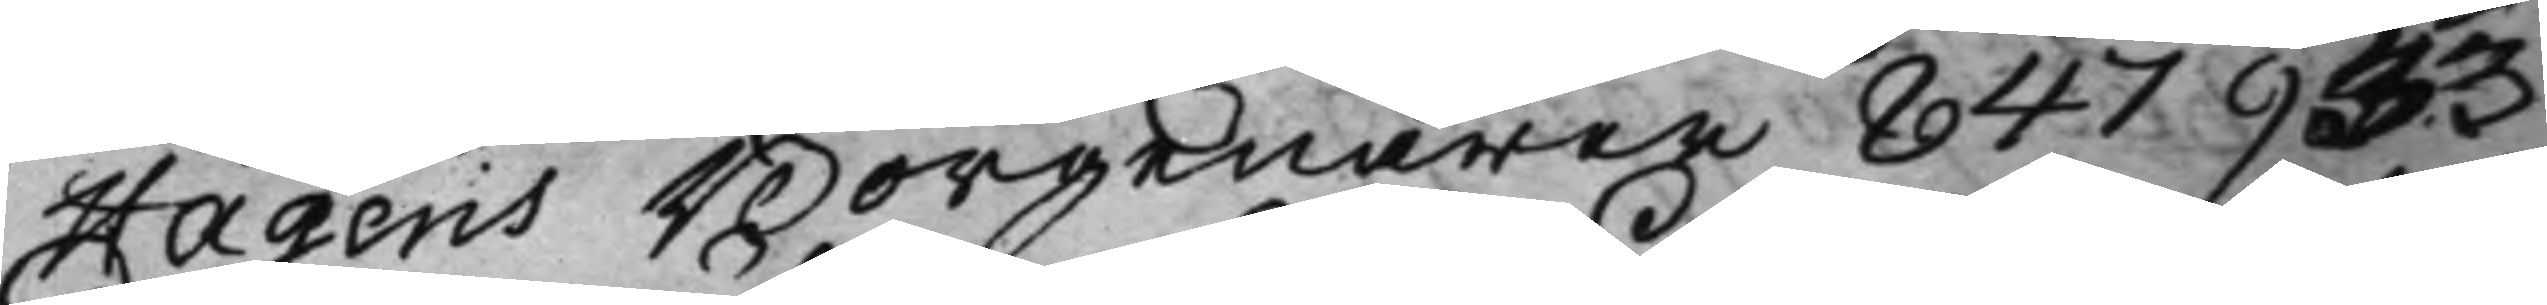Hagens Borgenärer 847 933
